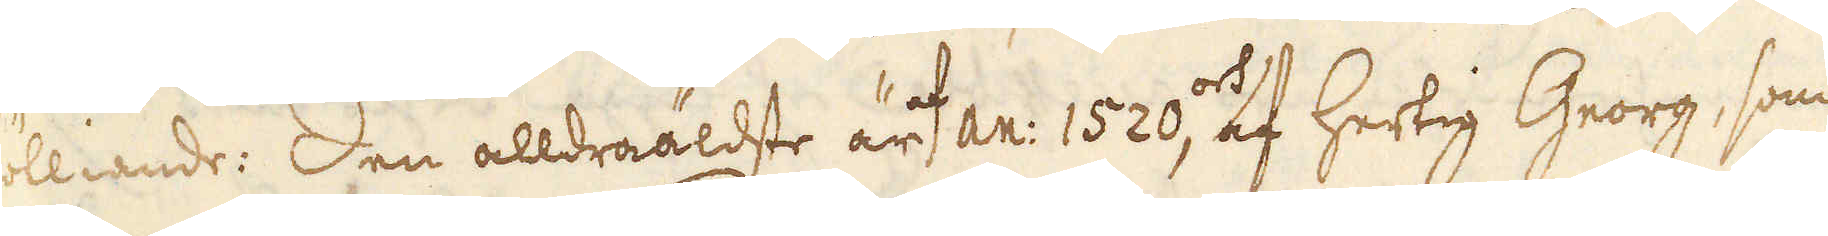fölliande: Den alldraäldste är af an: 1520, och af Hertig Georg, som
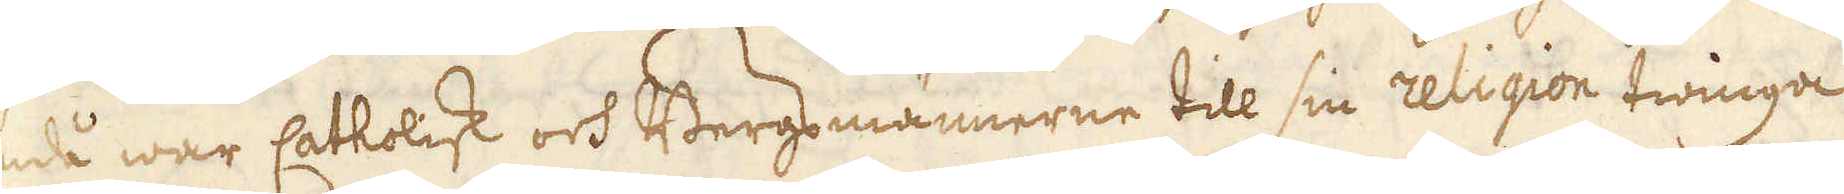då war Catholisk och Bergsmännerne till sin religion twinga
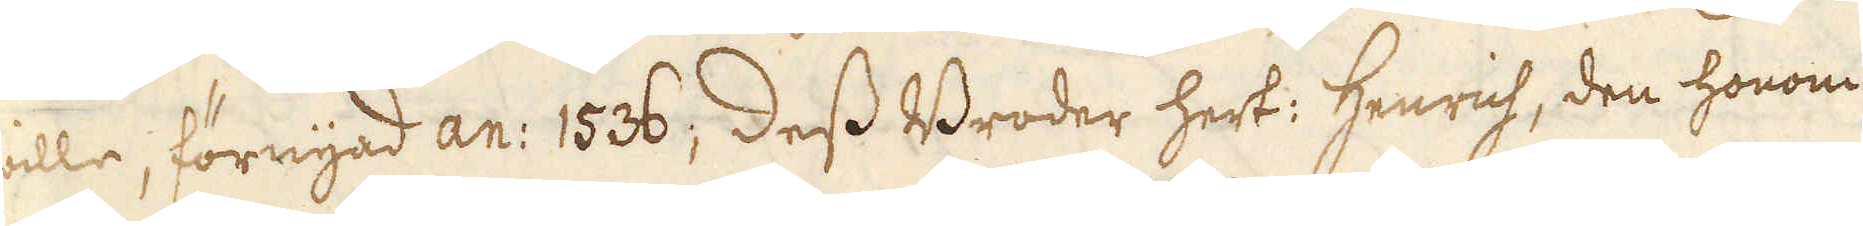wille, förnyad an: 1536; Dess Broder Hert: Henrich, den honom
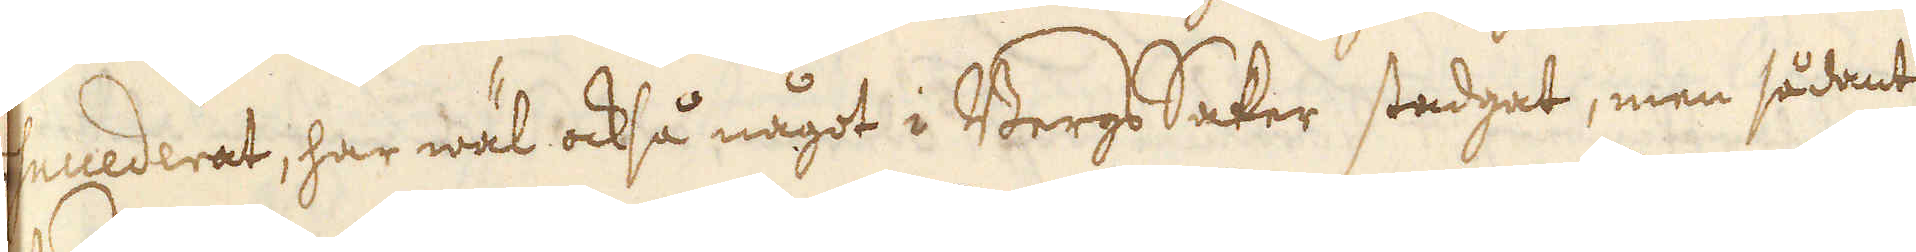succederat, har wäl också något i BergsSaker stadgat, men sådant
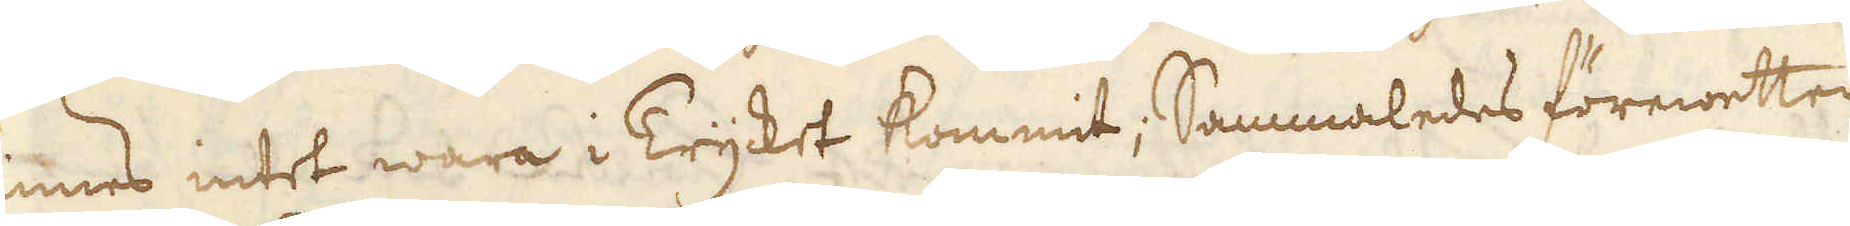finnes intet wara i Trycket kommit; Sammaledes förewetter
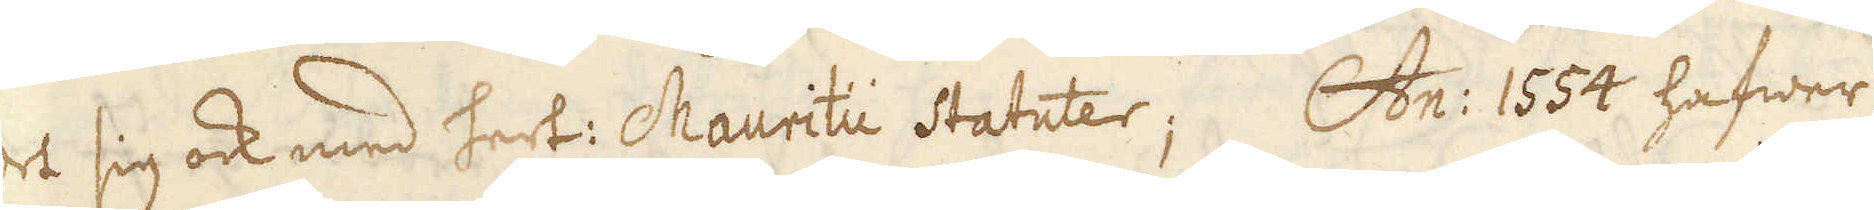det sig ock med Hert: Mauritii Statuter; An: 1554 hafwer
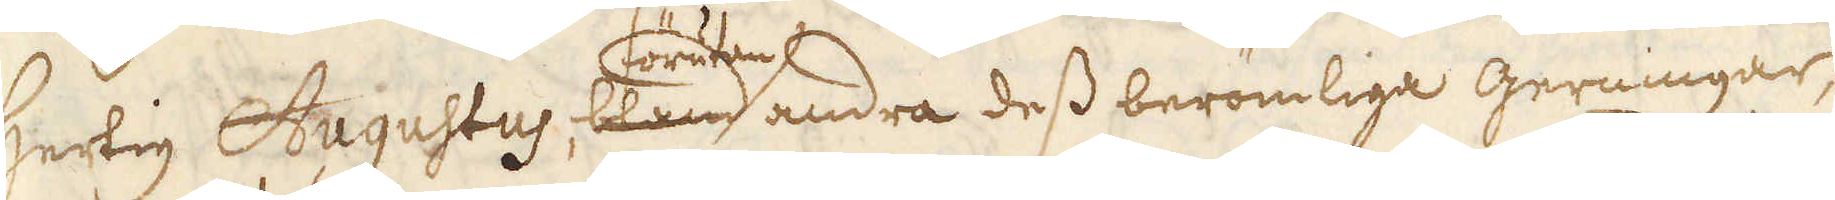Hertig Augustus, bland förutan andra dess berömliga gerningar,
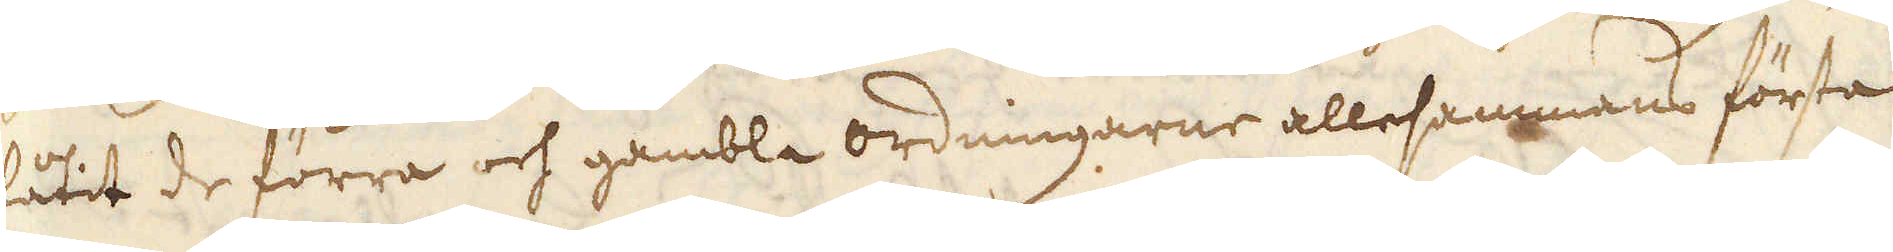låtit de förra och gambla ordningarne allesammans första
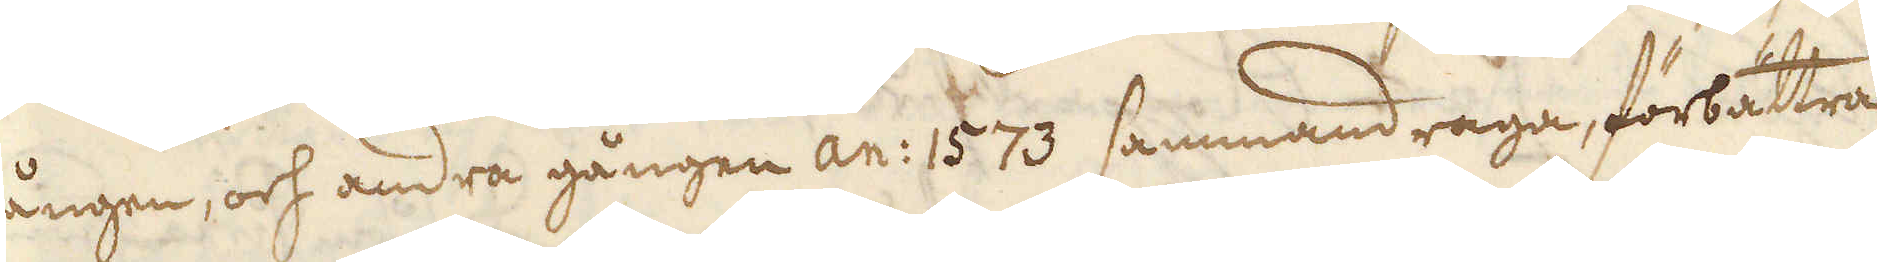gången, och andra gången an: 1573 sammandraga, förbättra
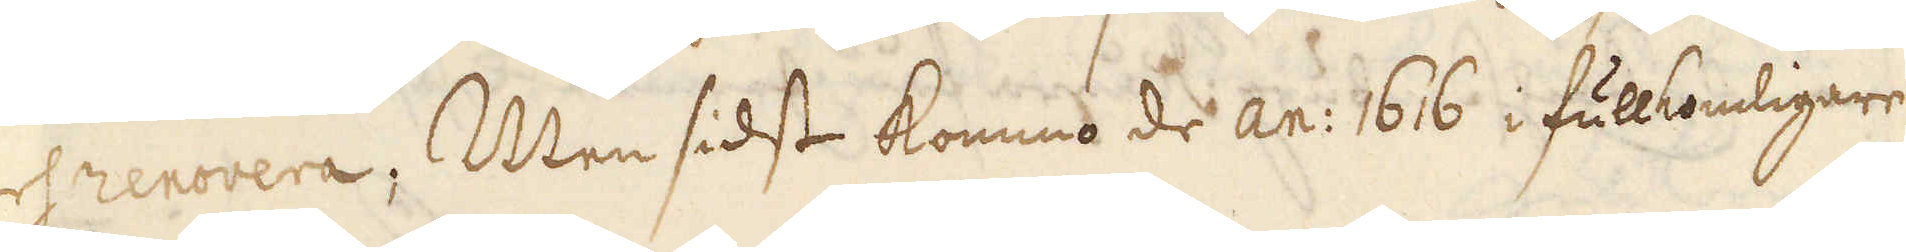och renovera; Men sidst kommo de an: 1616 i fullkomligare
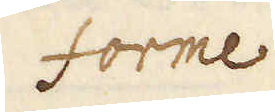Forme
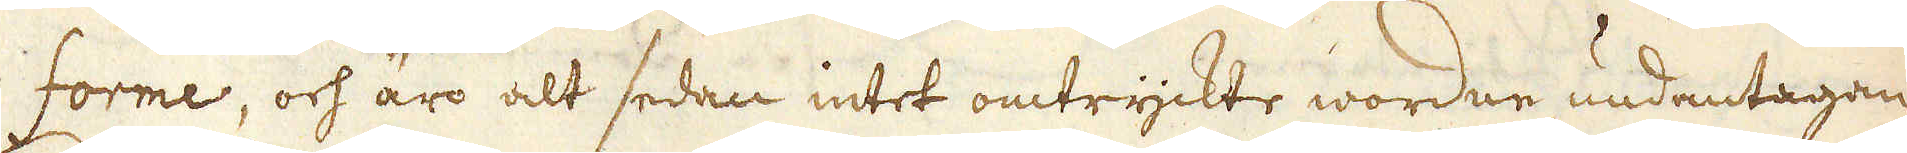forme, och äro alt sedan intet omtryckte wordne undentagan-
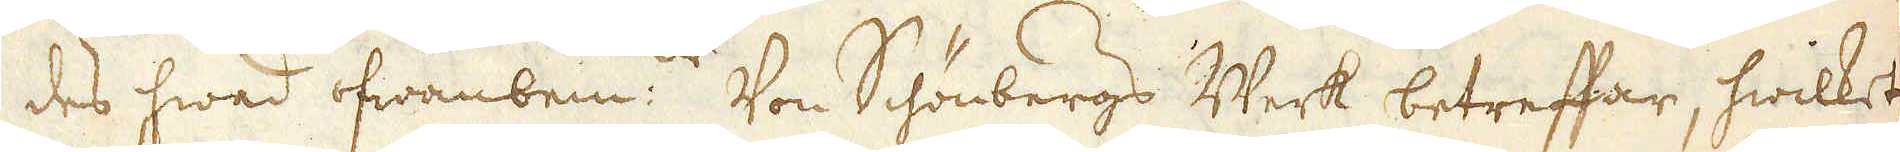des hwad ofwanbem: Von Schönbergs Werk betreffar, hwilket
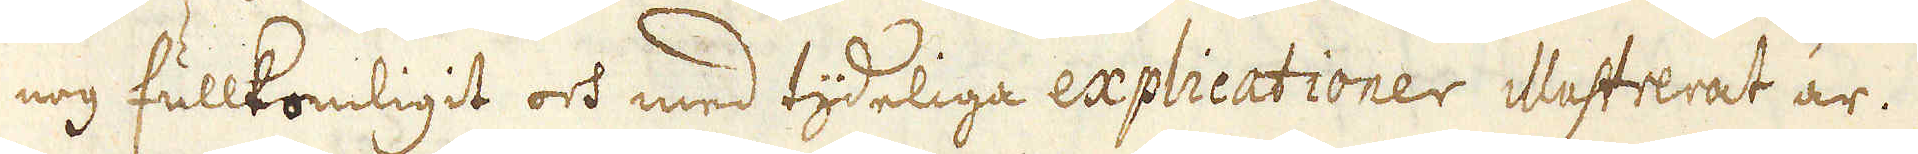nog fullkomligit och med tideliga expliceationer illustrerat är.
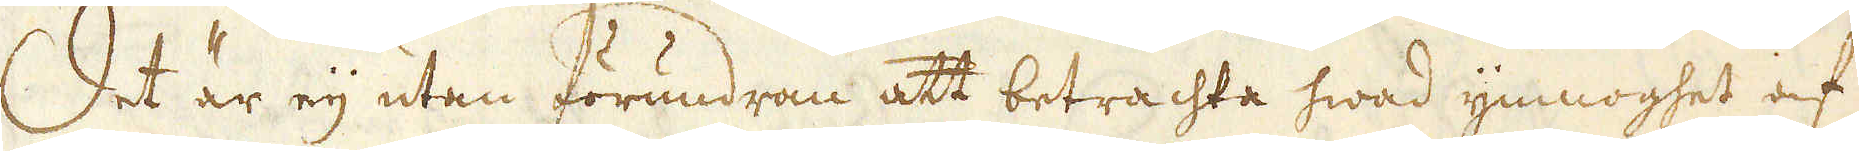Det är ej utan förundran att betrachta hwad ymnoghet af
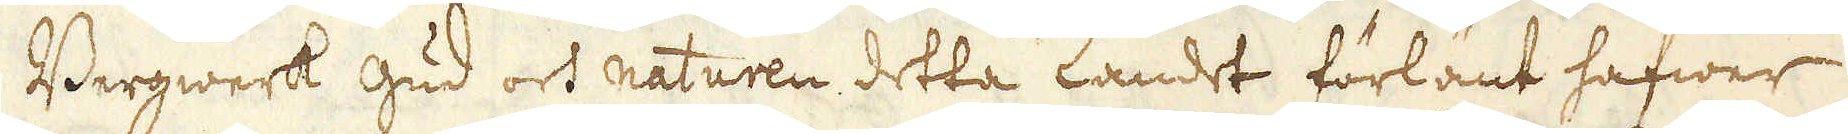Bergwerk Gud och naturen, detta landet förlänt hafwer,
